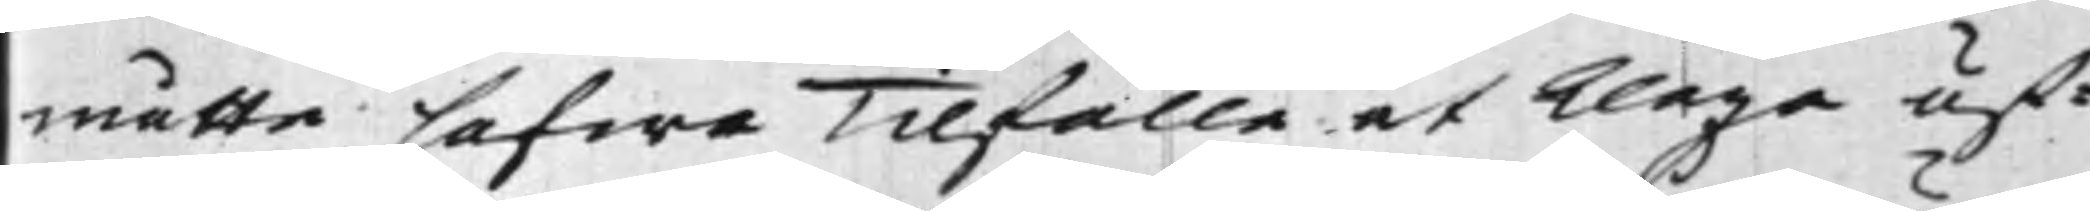måtte hafwa Tilfälle at klaga öf¬
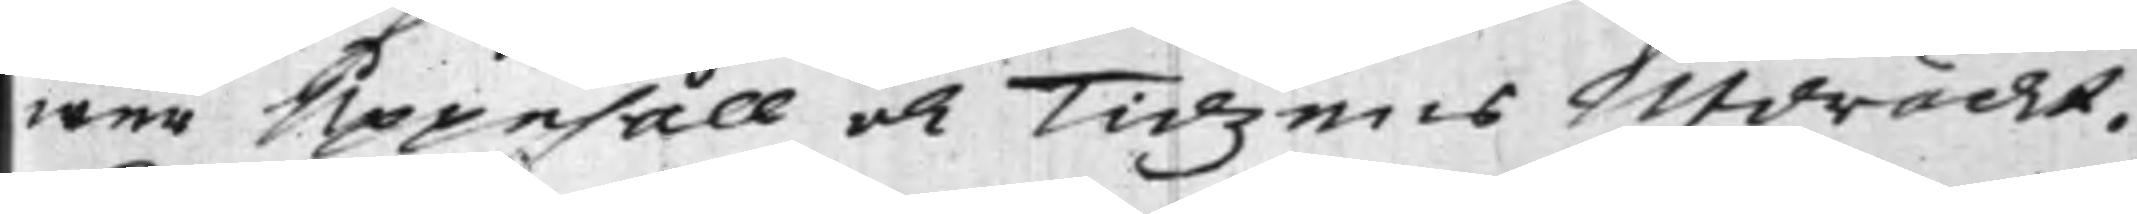wer Uppehåll och Tidzens Utdräckt.
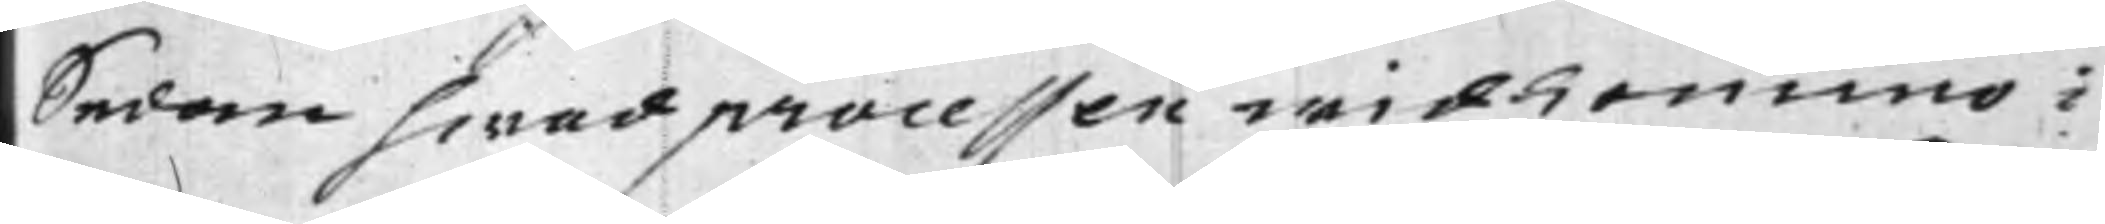Sedan hwad processen widkommo i
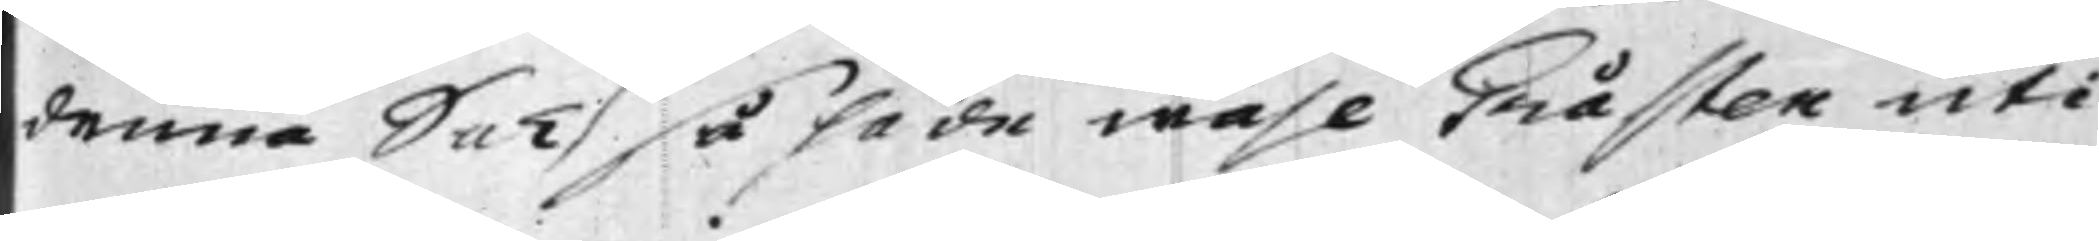denna Sak så hade wähl Gråsten uti
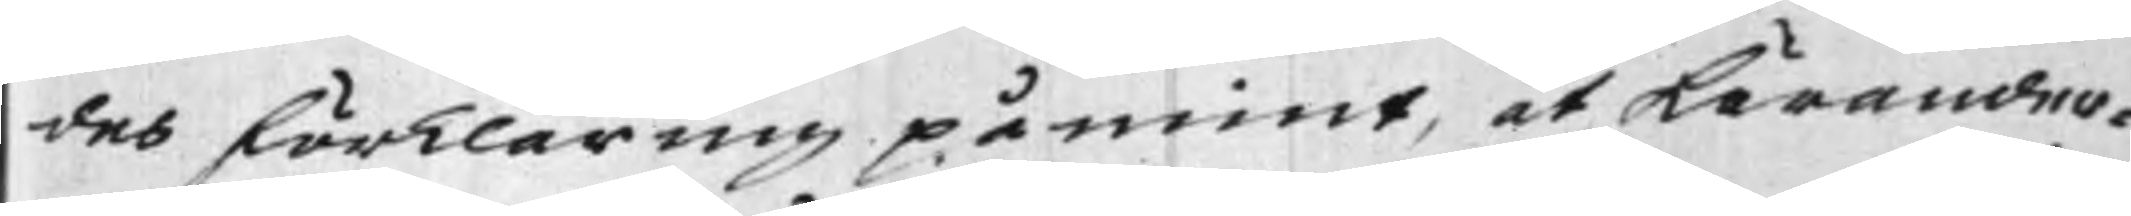des förklaring påmint, at Kärander¬
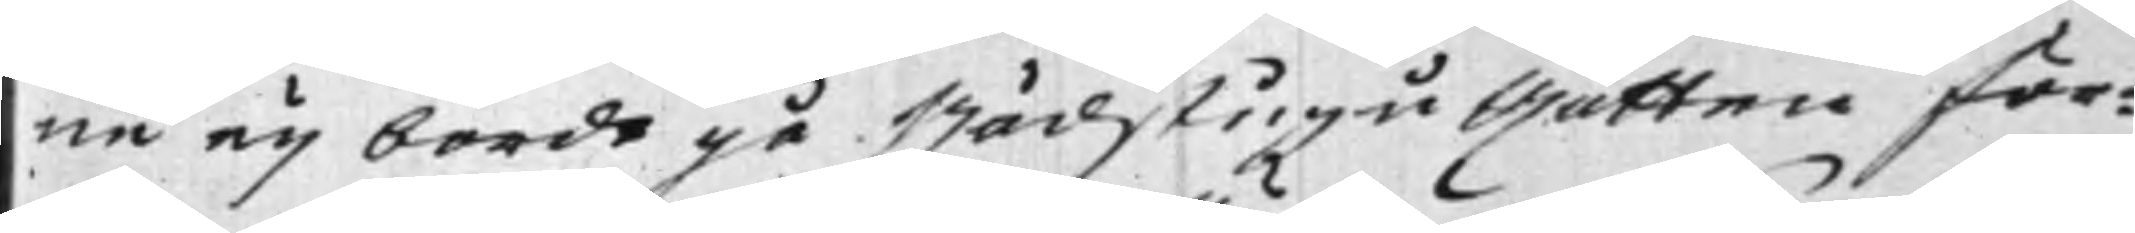ne eij borde gå Rådstugu Rätten för¬
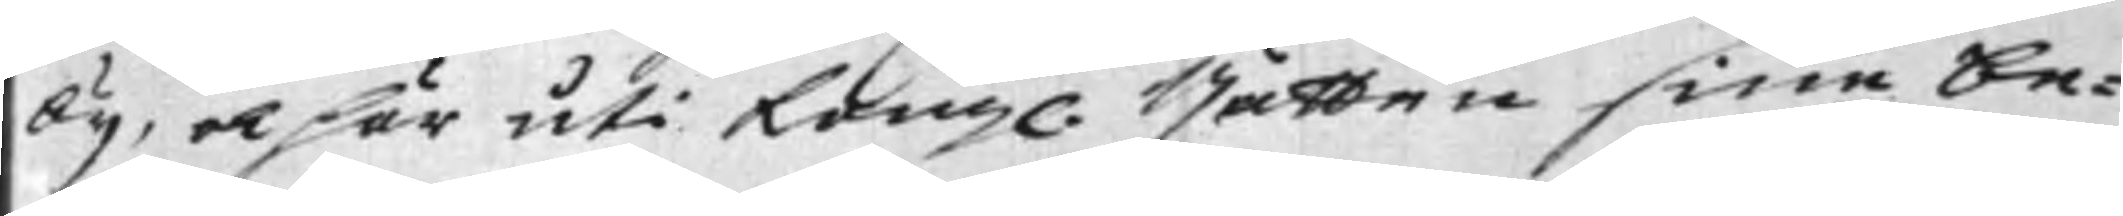bij, och här uti Kongl. Rätten sine be¬
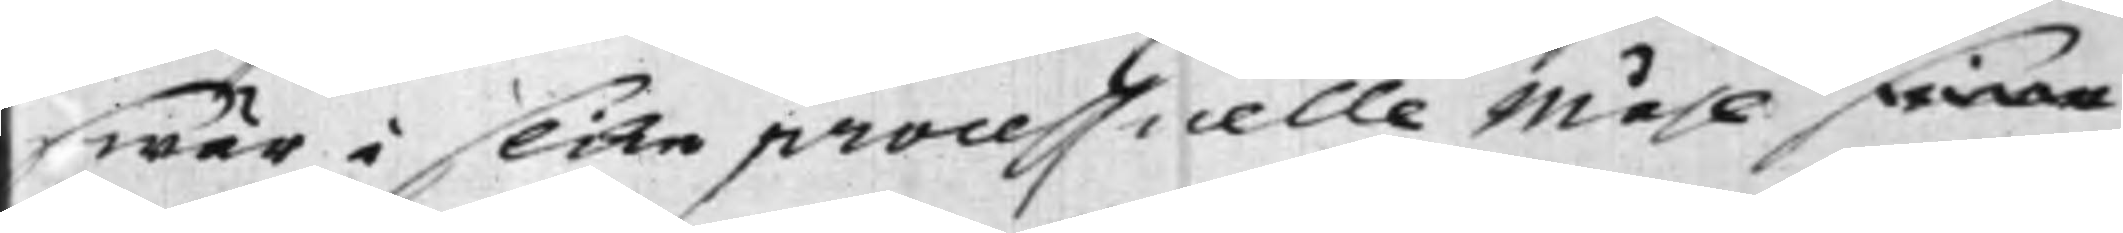swär i slike processuelle Måhl sine
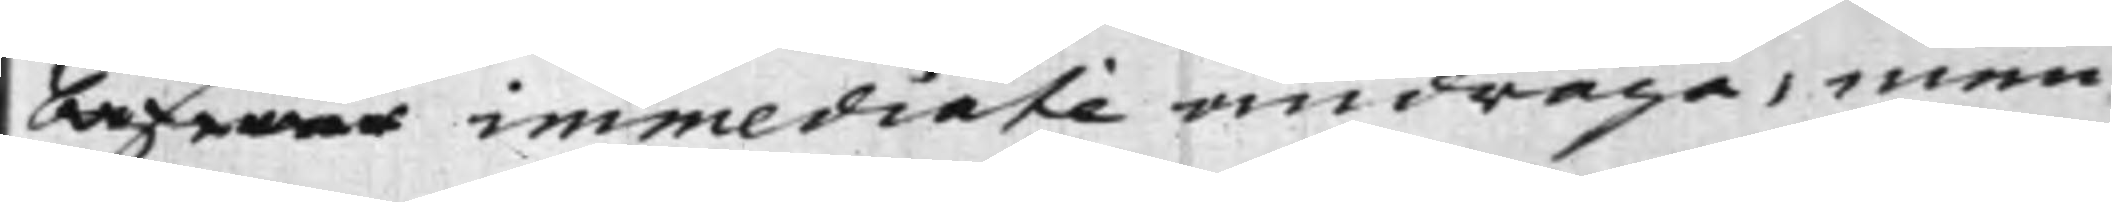beswär immediate andrage, men
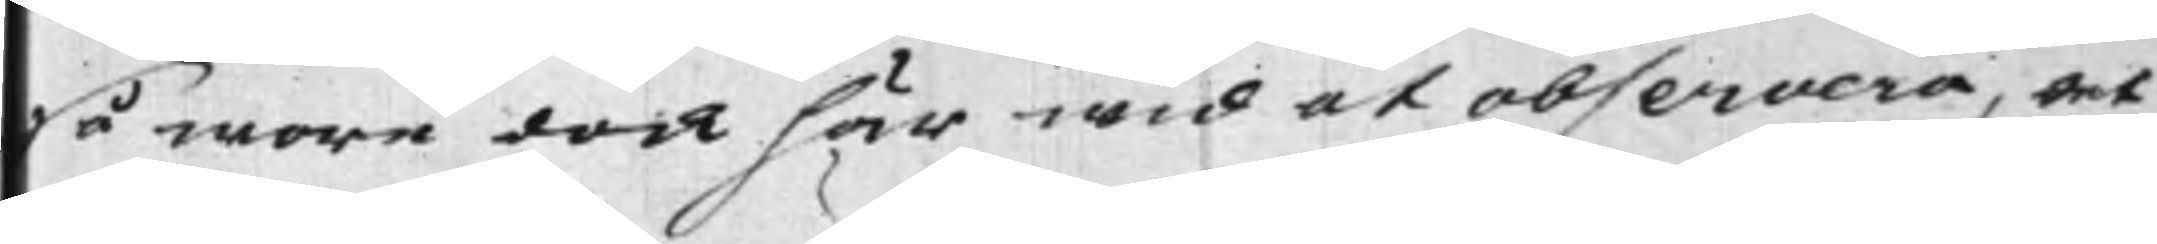så wore dock här wid at observera, det
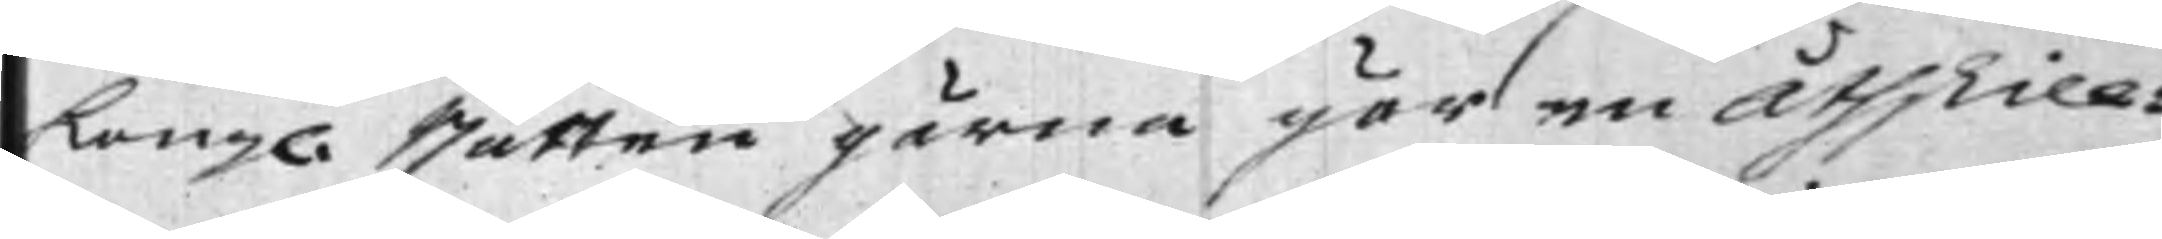Kongl. Rätten gärna gör en Åthskill¬
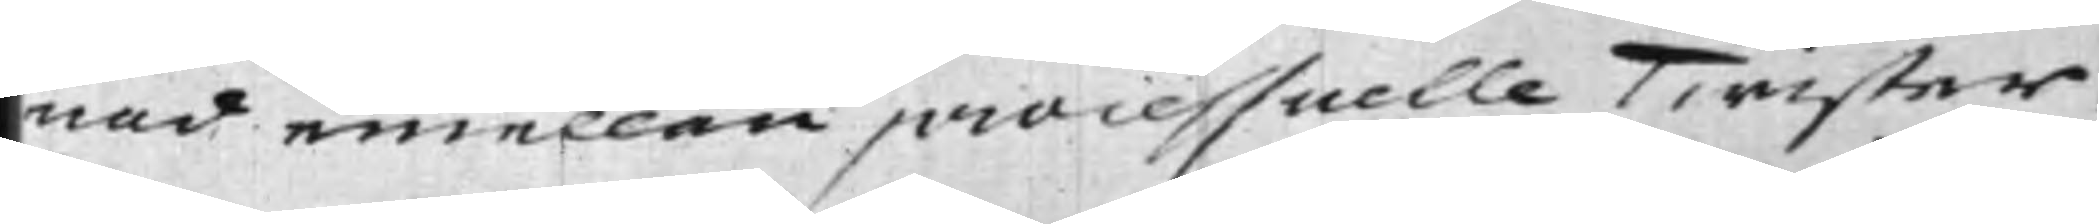nad emellan processuelle Twister
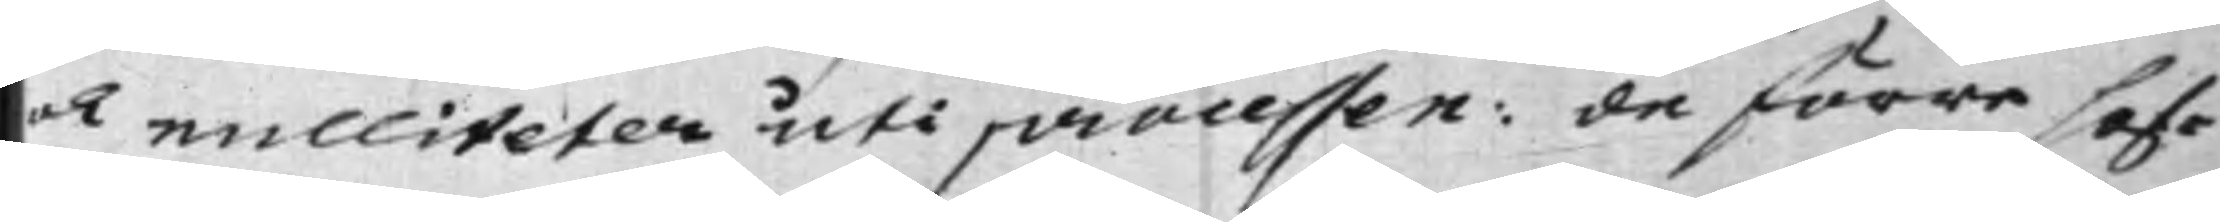och nulliteten uti processen: de förra haf¬
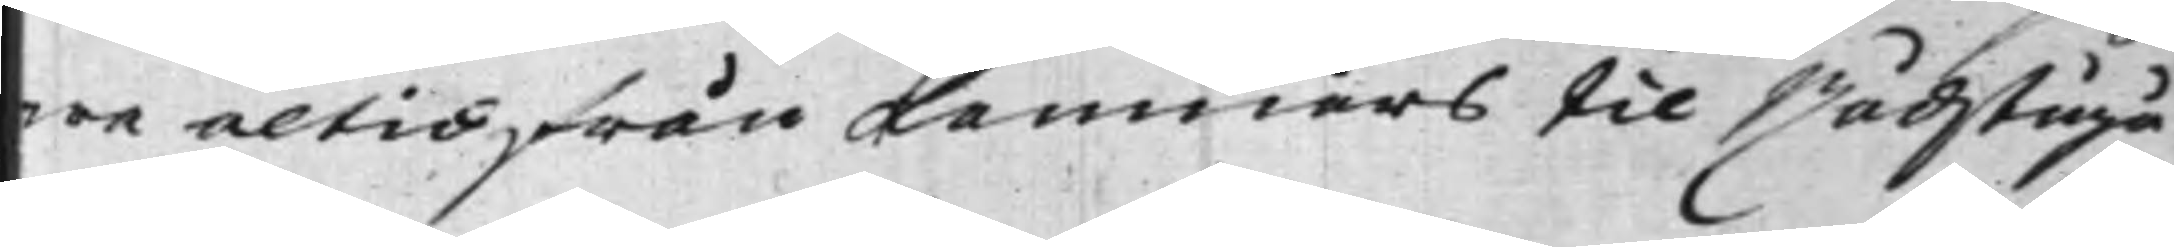wa altid från Kamnärs til Rådstugu
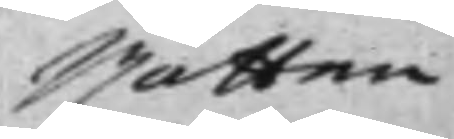Rätten
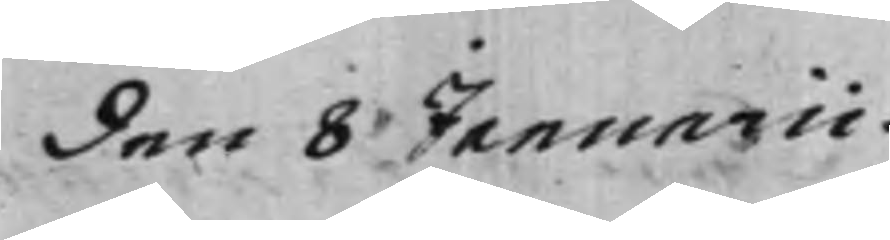den 8 Januarii.
